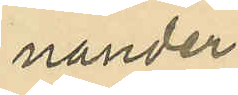nander
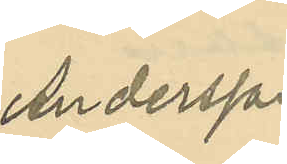Andersson
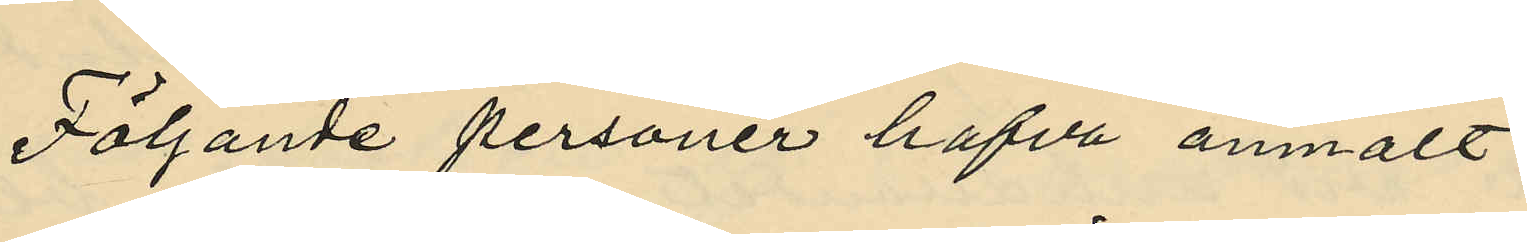Följande personer hafva anmält:
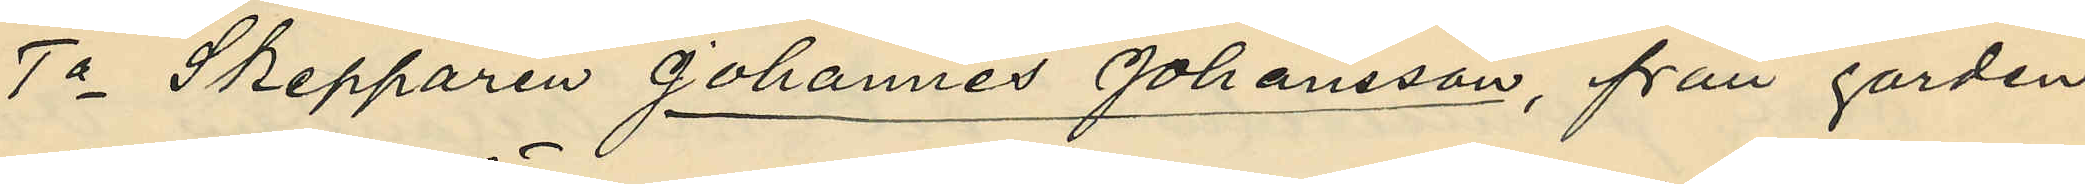1o Skepparen Johannes Johansson, från gården
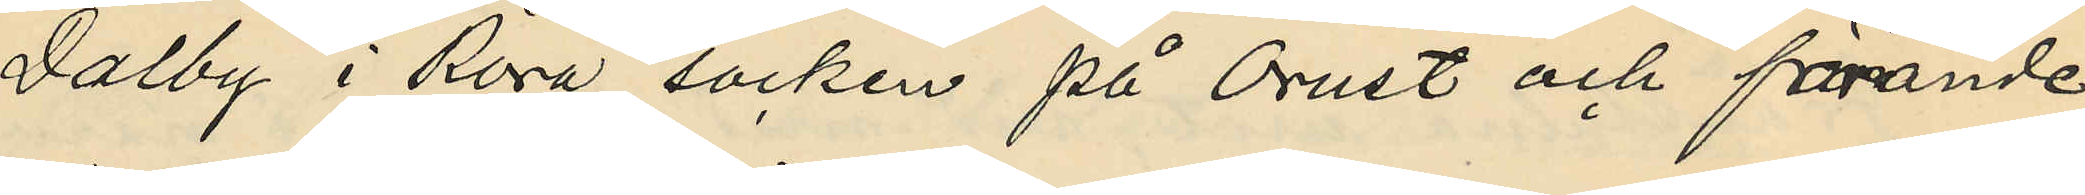Dalby i Röra socken på Orust och förande
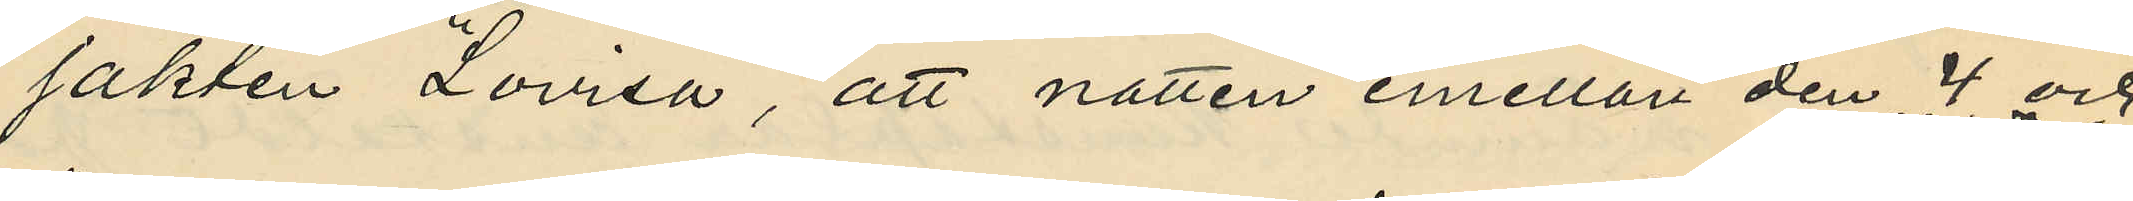jakten "Lovisa", att natten emellan den 4 och
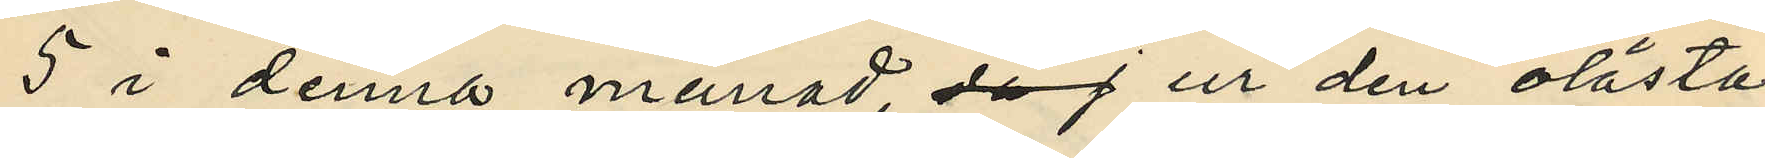5 i denna månad, då j ur den olåsta
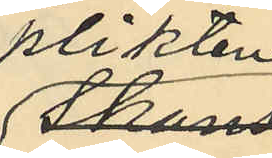plikten
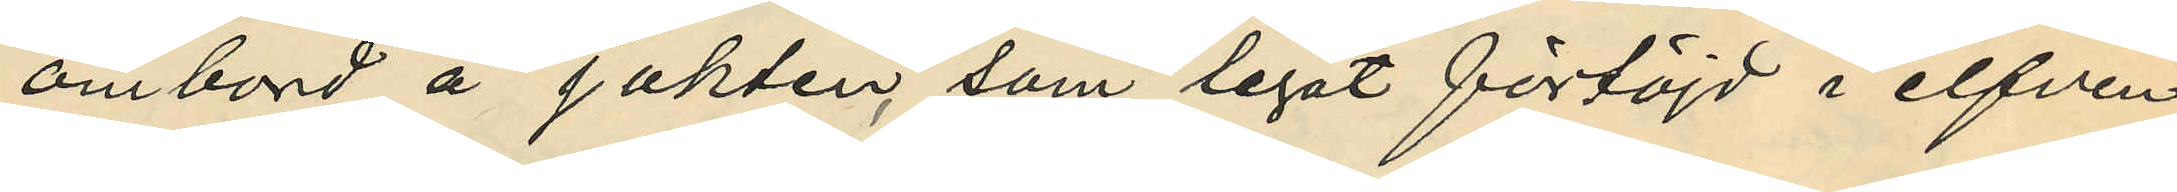ombord å jakten, som legat förtöjd i elfven
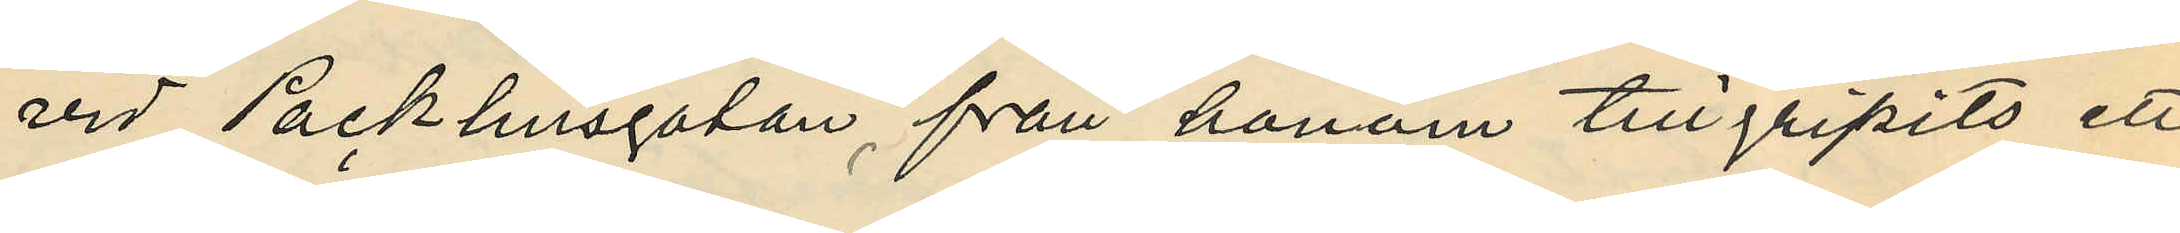vid Packhusgatan, från honom tillgripits ett
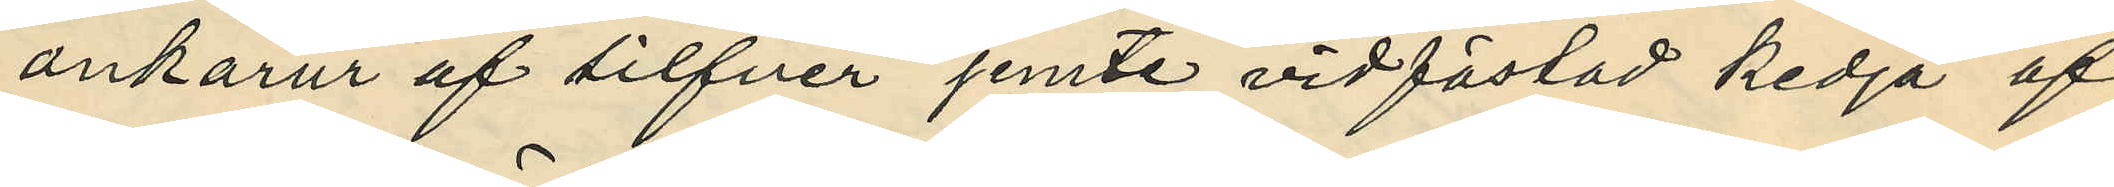ankarur af silfver jemte vidfästad kedja af
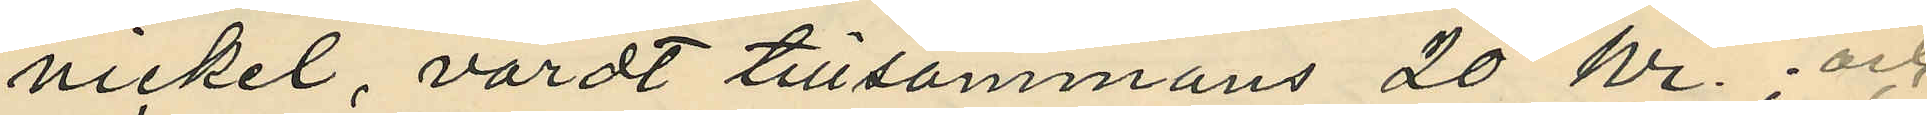nickel, värdt tillsammans 20 kr.; och
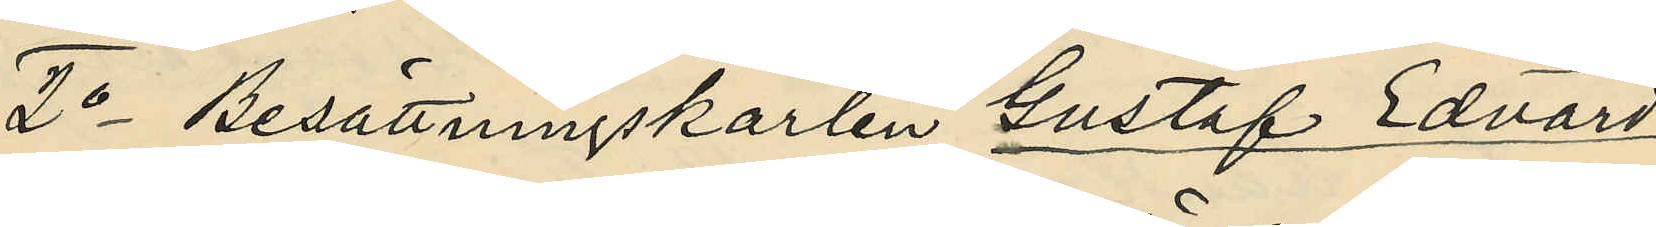2o Besättningskarlen Gustaf Edvard
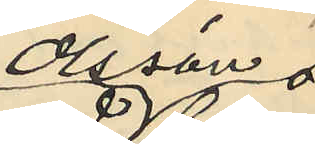Olsson
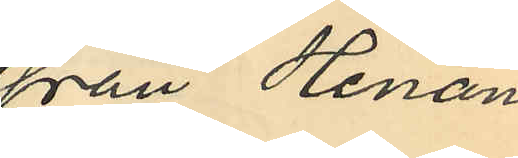från Henån
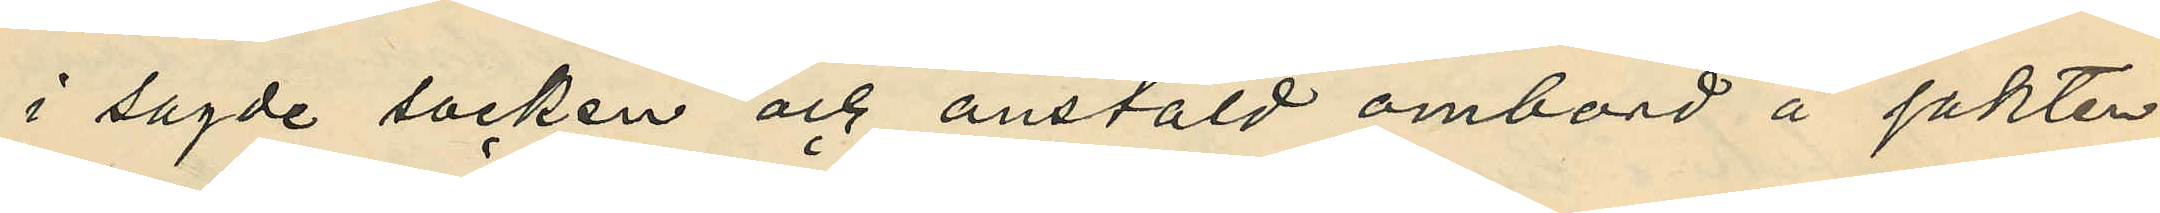i sagde socken och anstäld ombord å jakten
